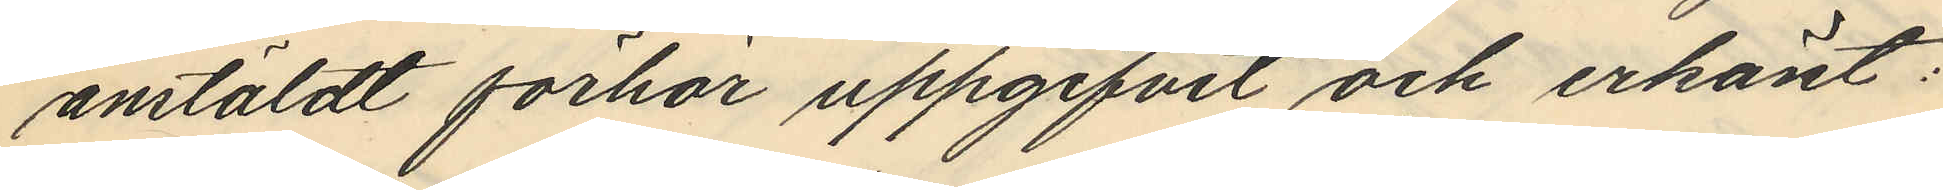anstäldt förhör uppgifvit och erkänt:
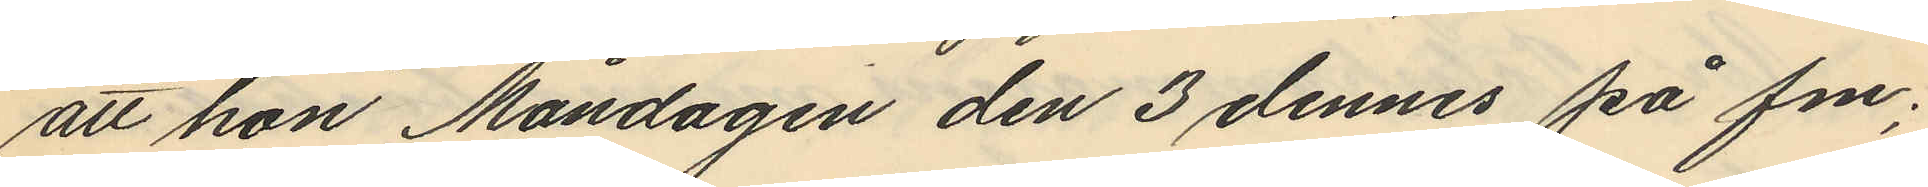att hon Måndagen den 3 dennes på fm;
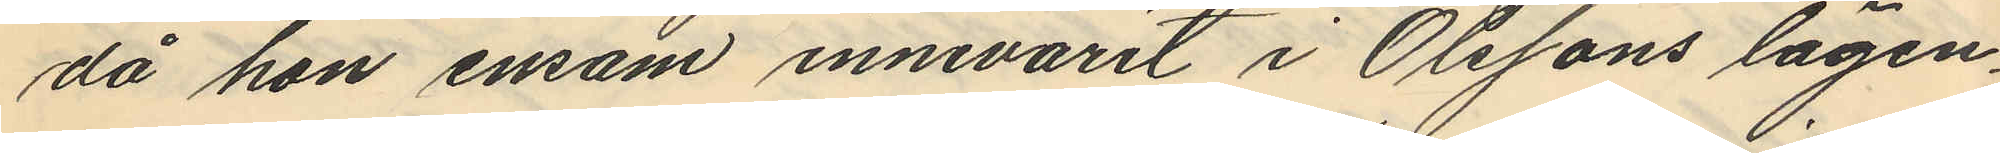då hon ensam innevarit i Olssons lägen¬
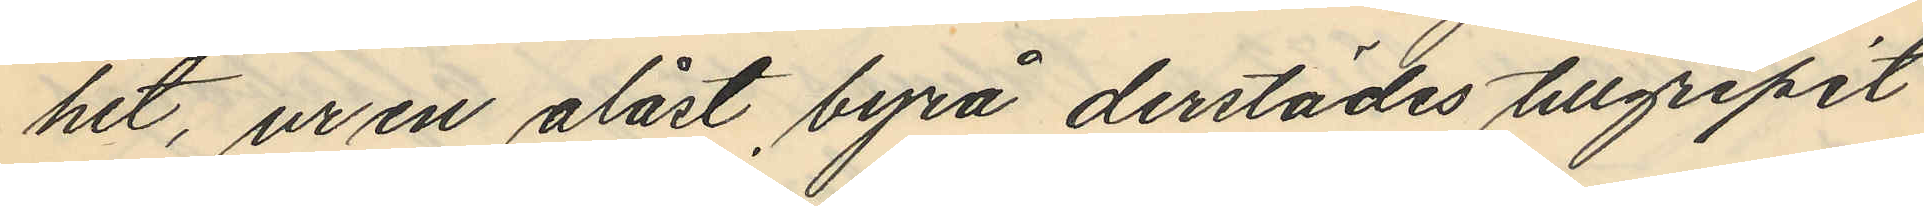het, ur en olåst byrå derstädes tillgripit
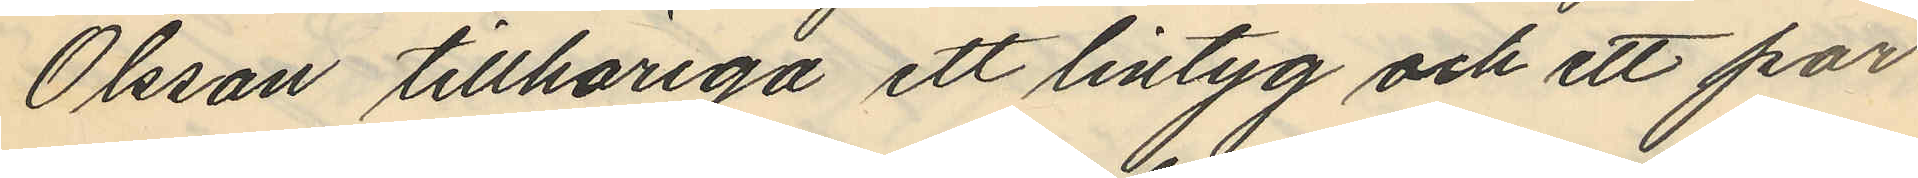Olsson tillhöriga ett lintyg och ett par
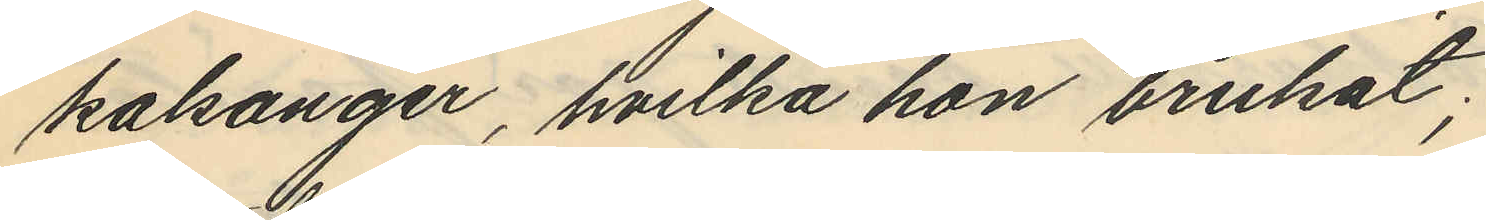kalsonger, hvilka hon brukat;
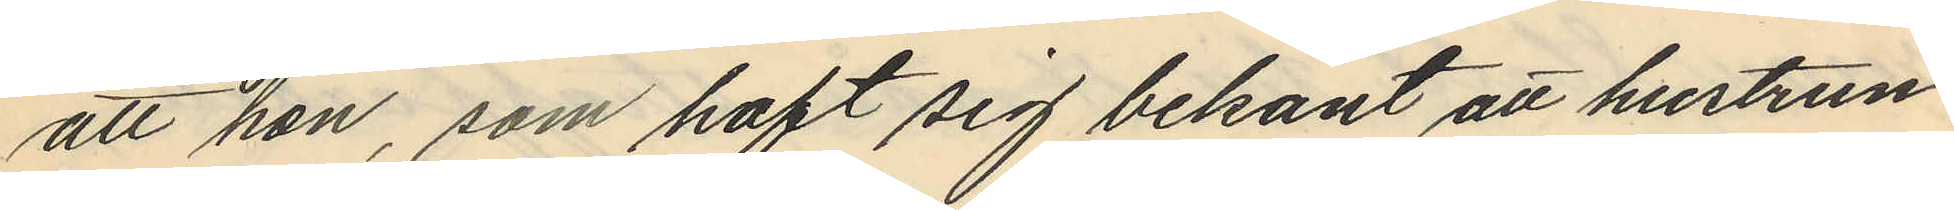att hon, som haft sig bekant att hustrun
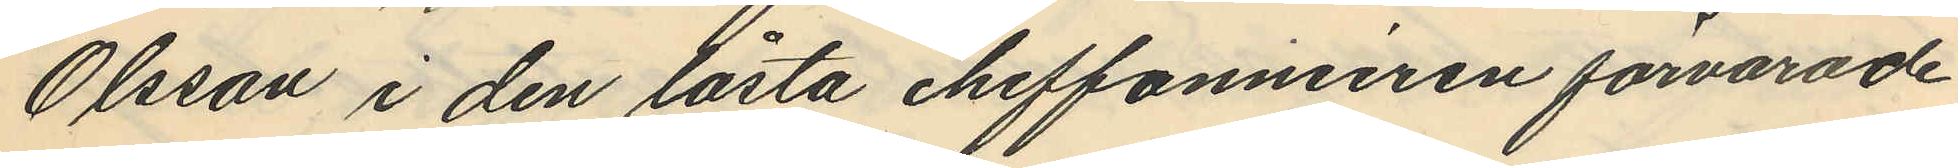Olsson i den låsta cheffonnieren förvarade
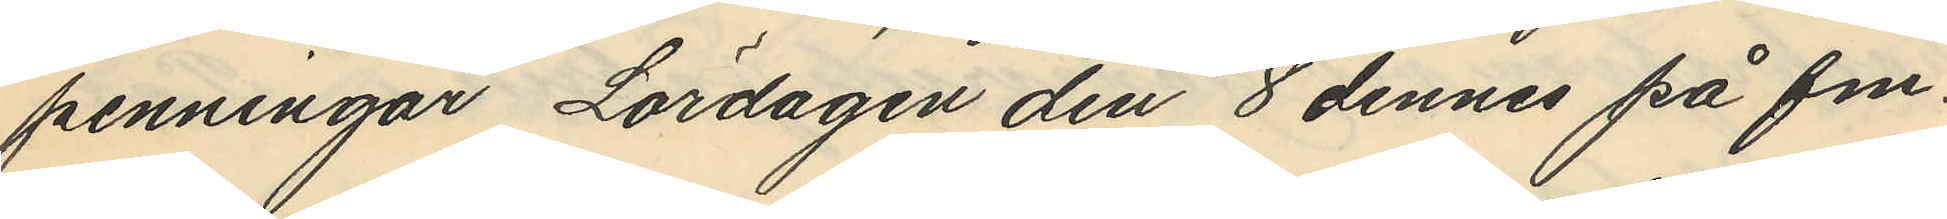penningar Lördagen den 8 dennes på fm.
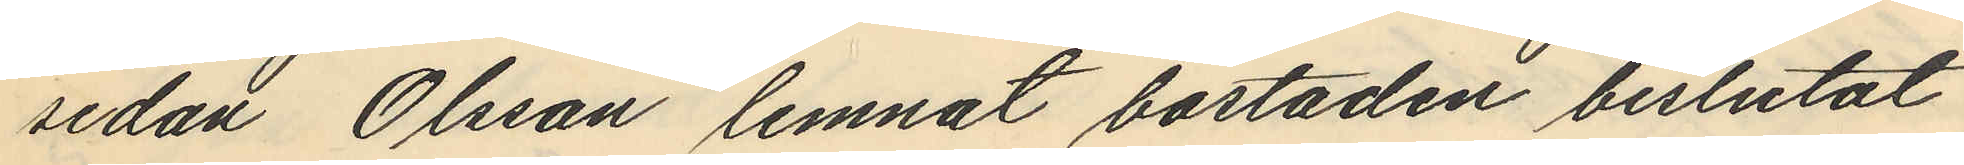sedan Olsson lemnat bostaden beslutat
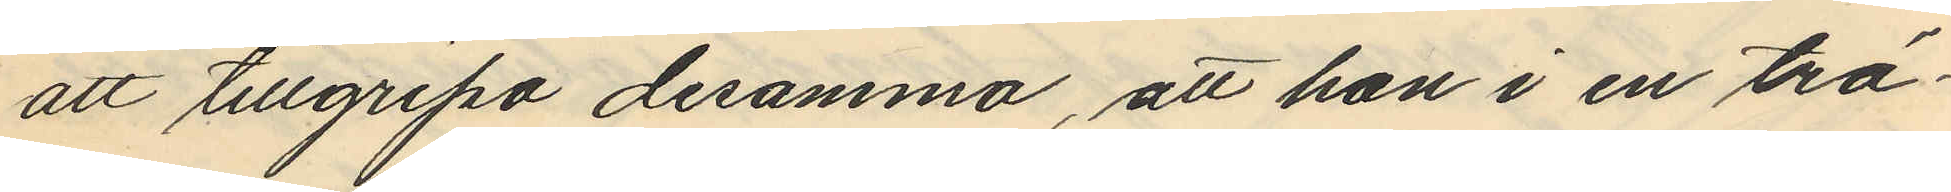att tillgripa desamma, att hon i en trä¬
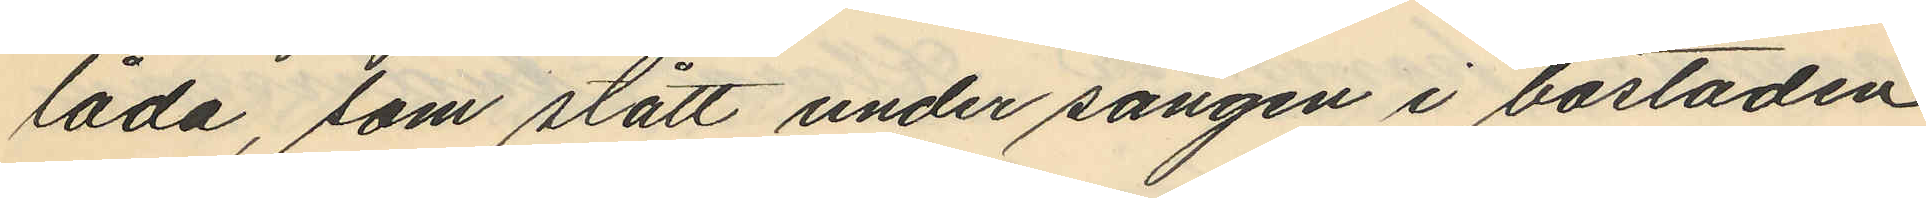låda, som stått under sängen i bostaden
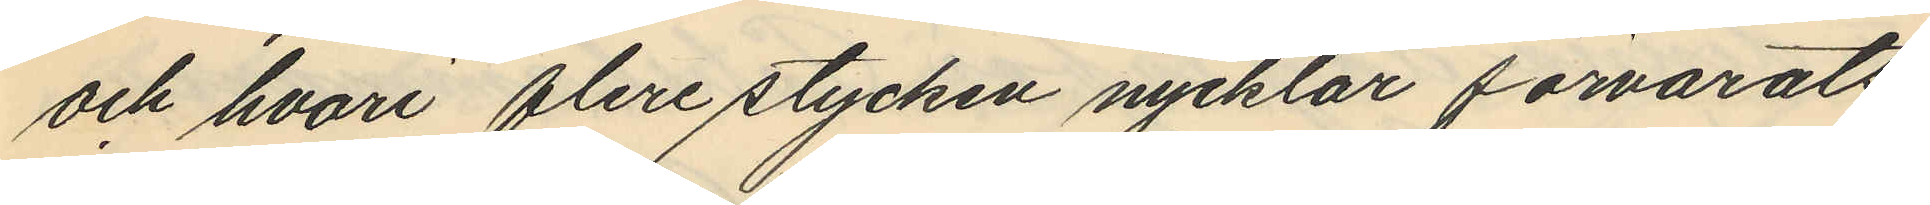och hvari flere stycken nycklar förvarats
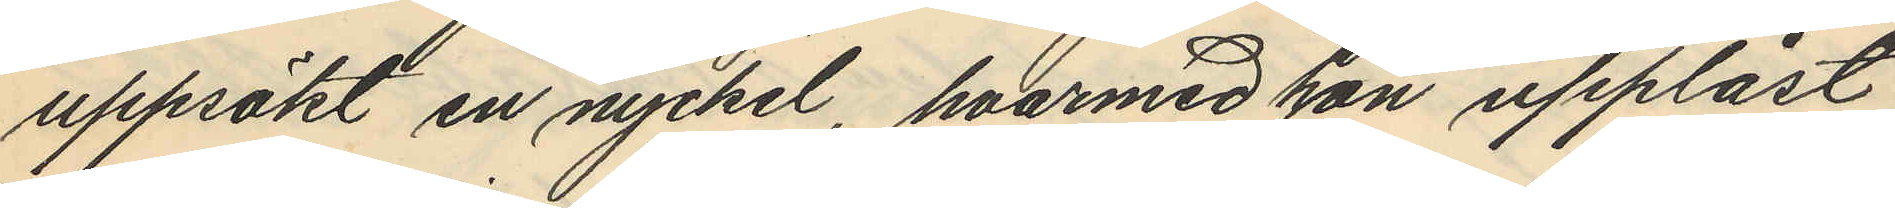uppsökt en nyckel, hvarmed hon upplåst
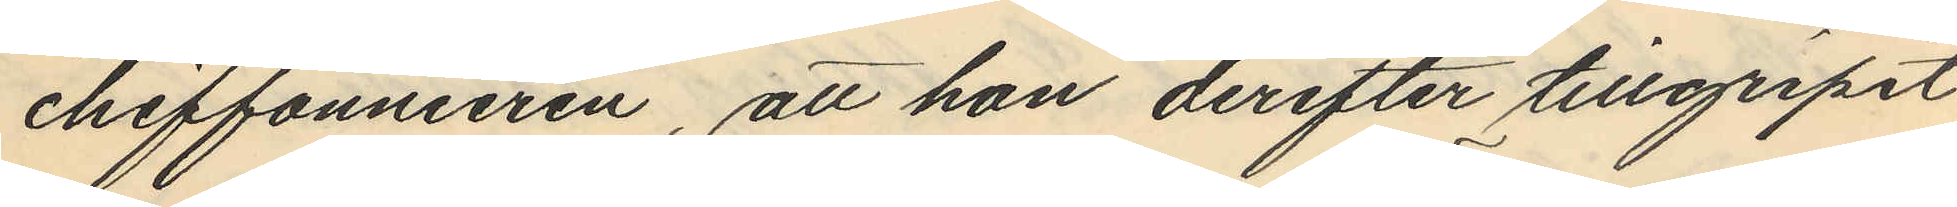chiffonnieren, att hon derefter tillgripit
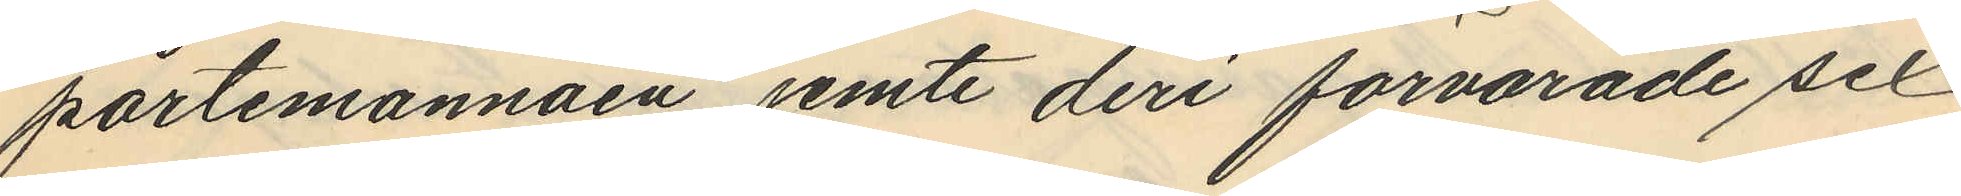portemonnäen jemte deri förvarade sex
